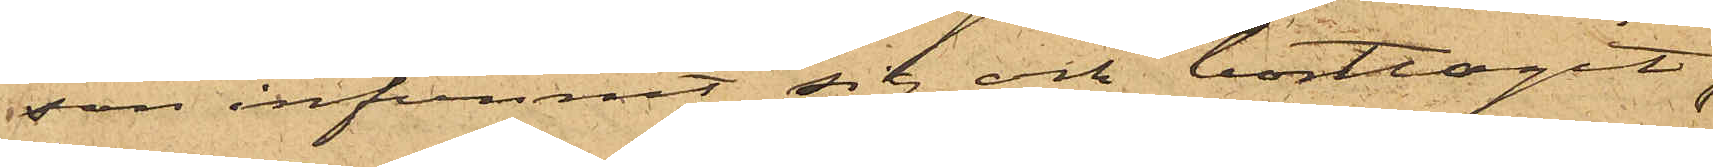son infunnit sig och borttagit
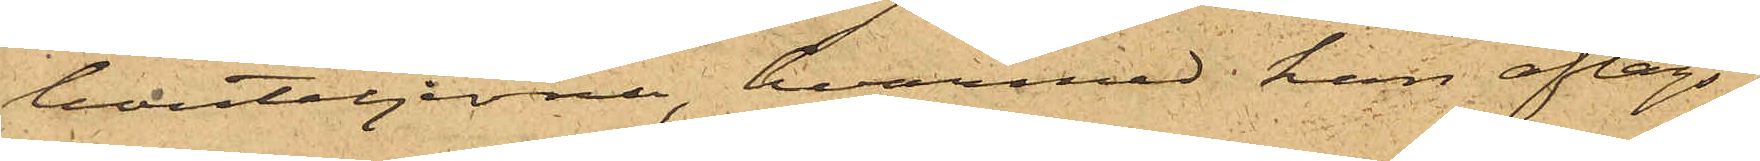bouteljerna, hvarmed han aflägs¬
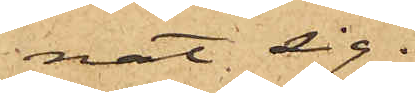nat sig.
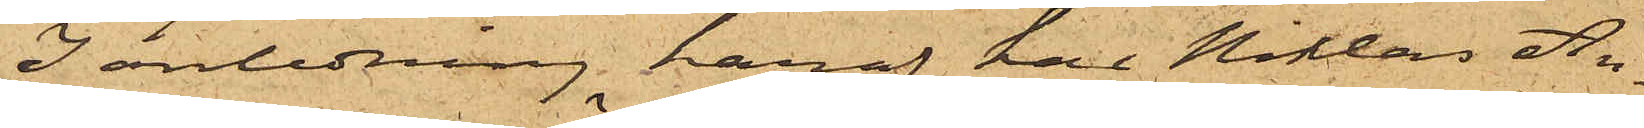I anledning häraf har Niklas An¬
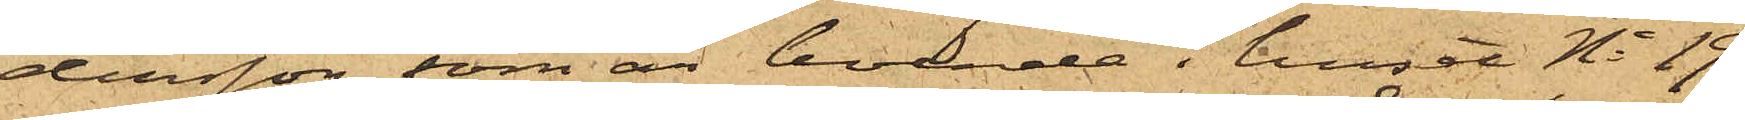dersson, som är boende i huset No 19
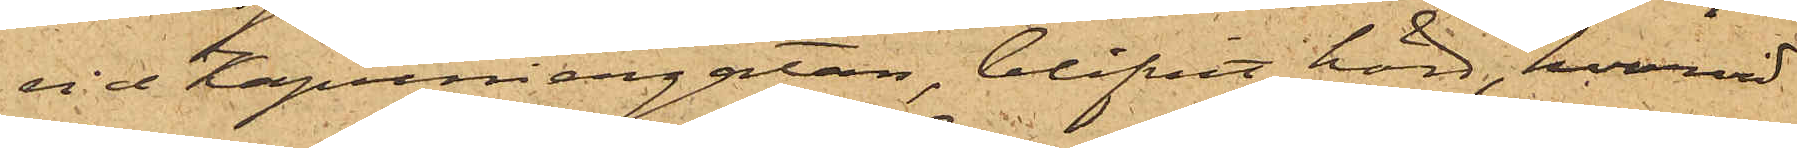vid Kapuniersgatan, blifvit hörd, hvarvid
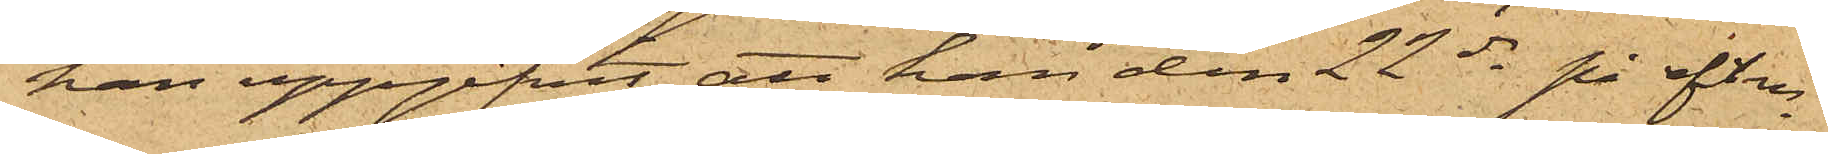han uppgifvit att han den 22 ds på eftm
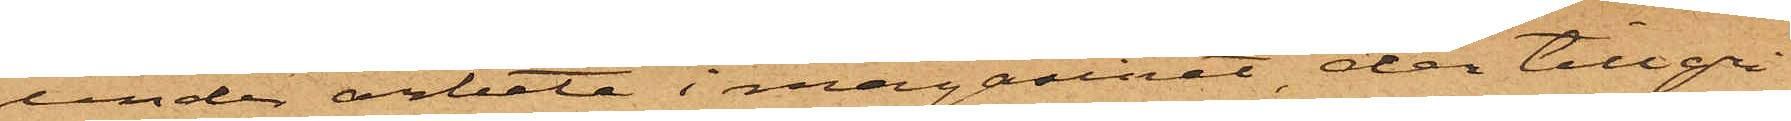under arbete i magasinet der tillgri¬
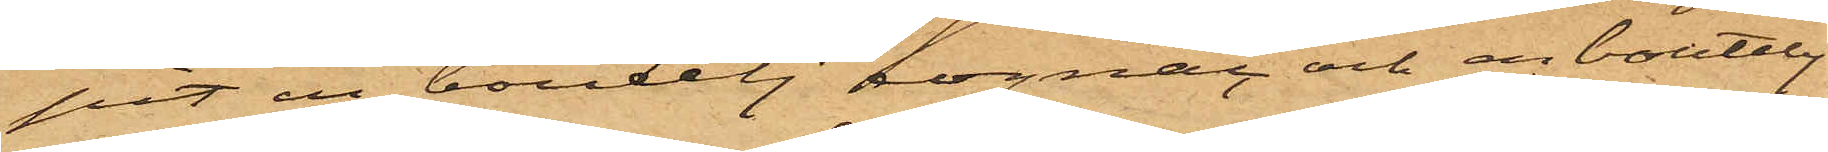pit en boutelj cognac och en boutelj
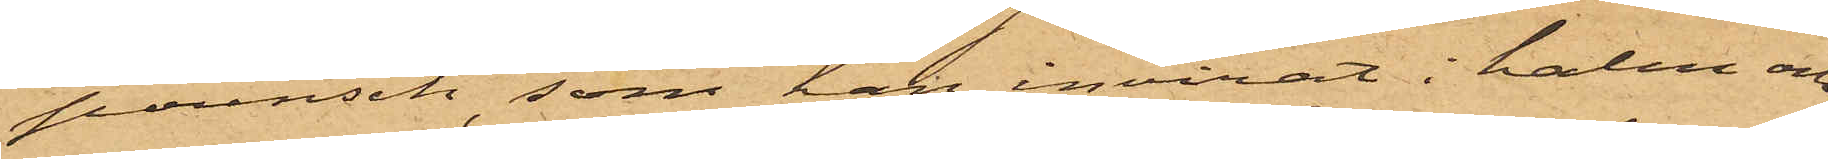punsch, som han invirat i halm och
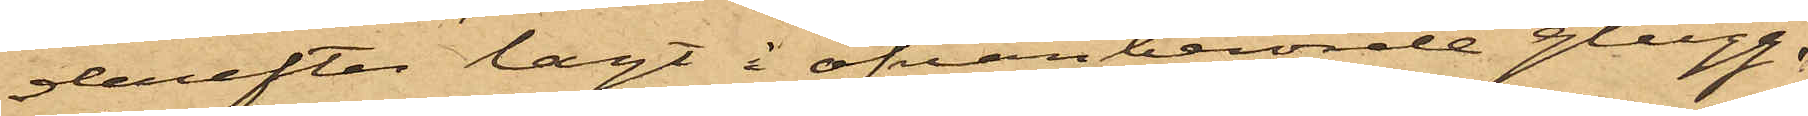derefter lagt i ofvanberörde glugg,
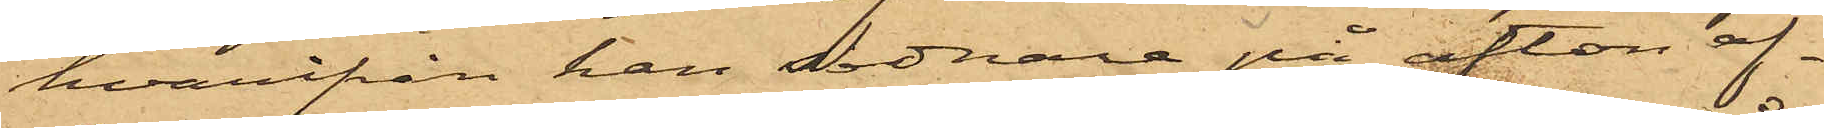hvarifrån han sednare på afton af¬
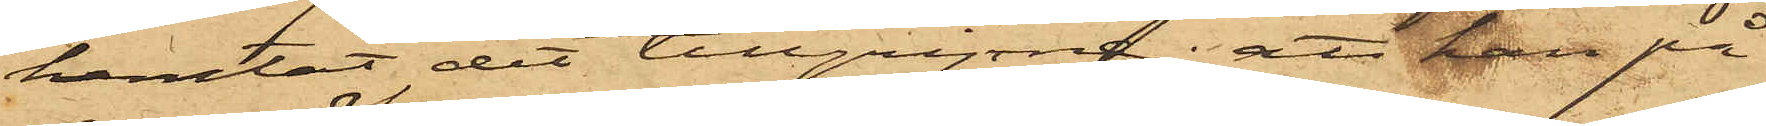hemtat det tillgripne; att han på
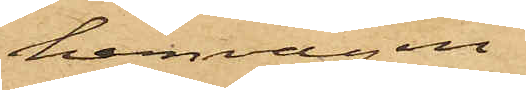hemvägen
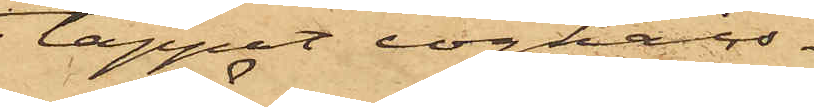tappat cognacs¬
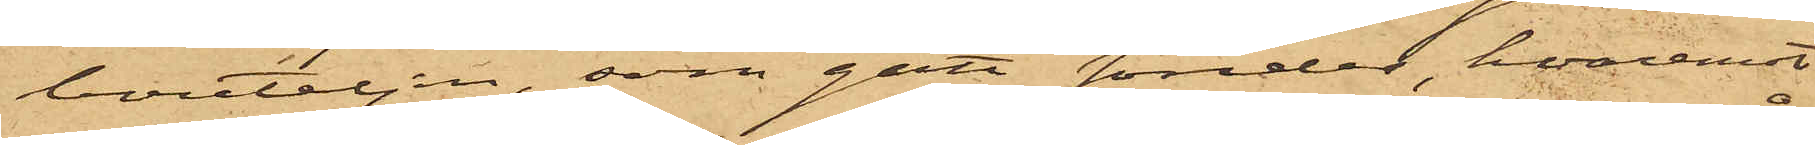bouteljen, som gått sönder, hvaremot
